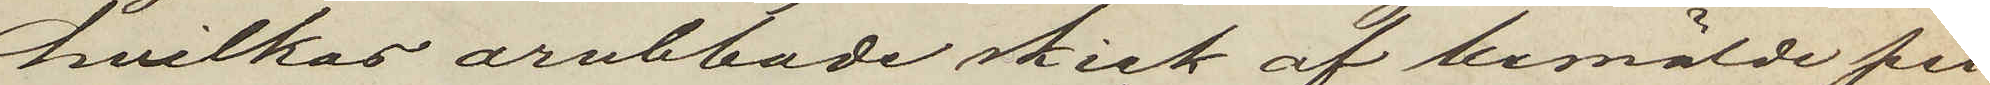hvilkas orubbade skick af bemälde per¬
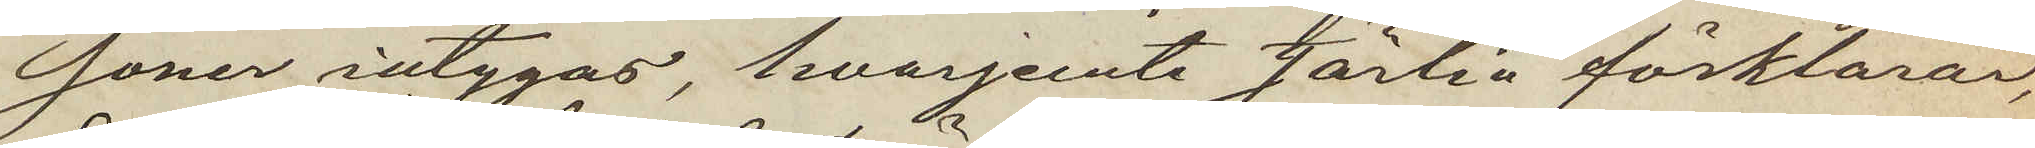soner intygas, hvarjemte Jörlin förklarar,
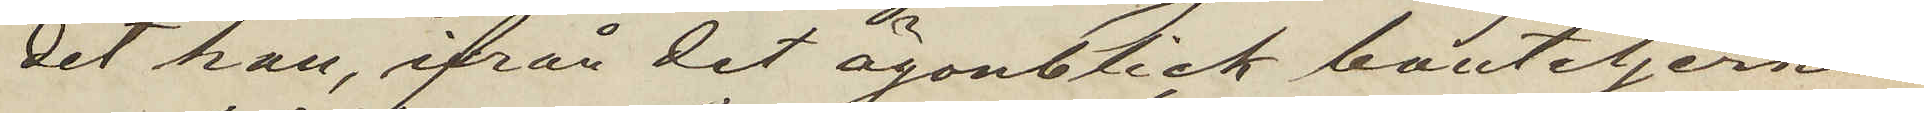det han, ifrån det ögonblick bouteljerna
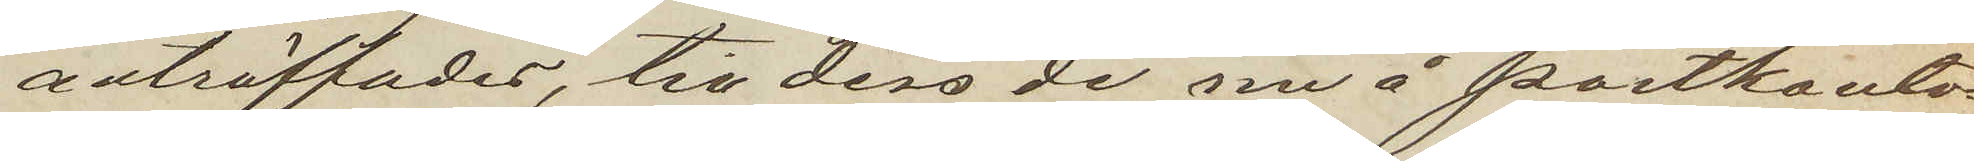anträffades, till dess de nu å postkonto¬
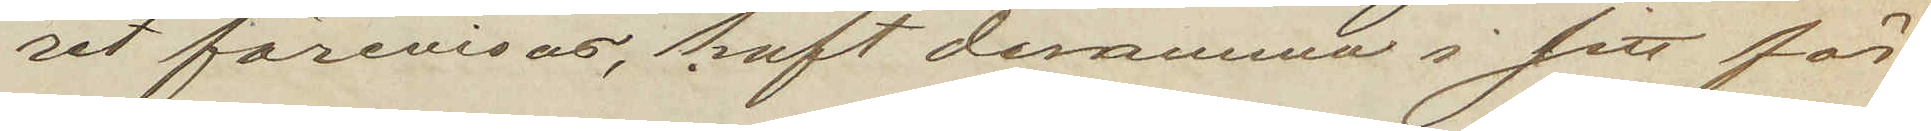ret förevisas, haft desamma i sitt för¬
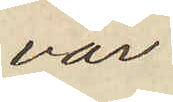var.
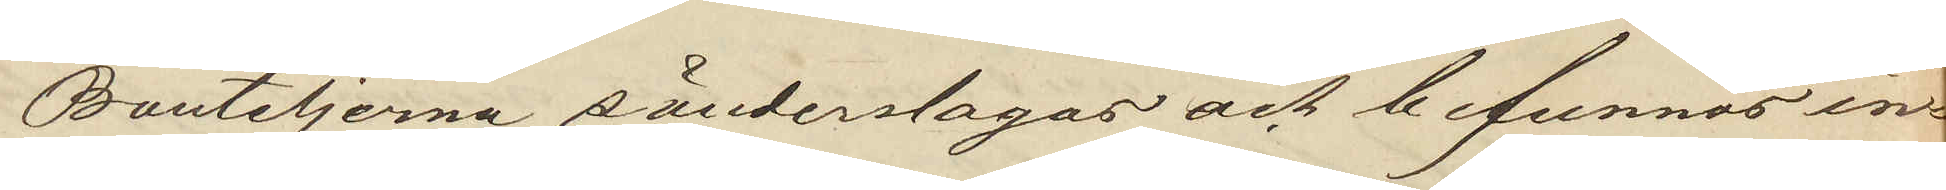Bouteljerna sönderslogos och befunnos in¬
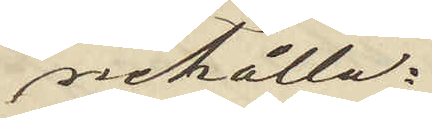nehålla:
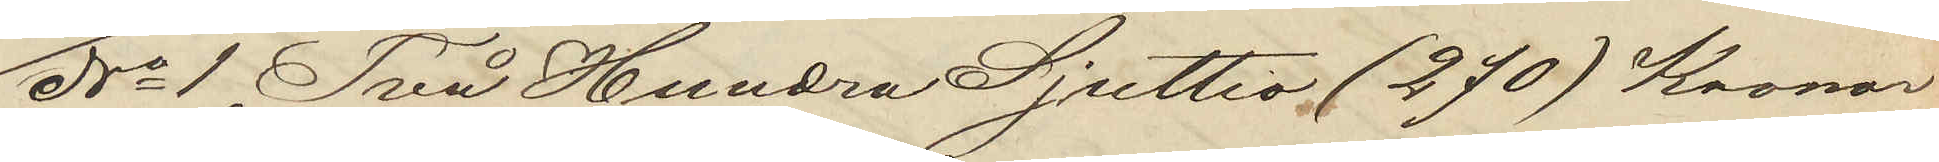No 1 Två Hundra Sjuttio (270) Kronor
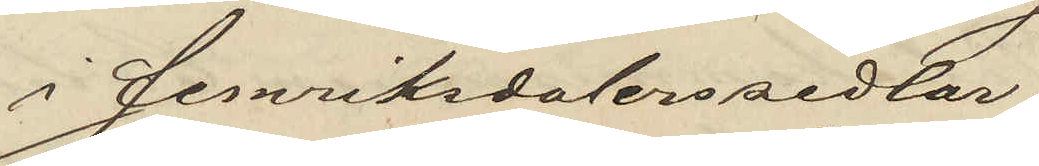i femriksdalerssedlar;
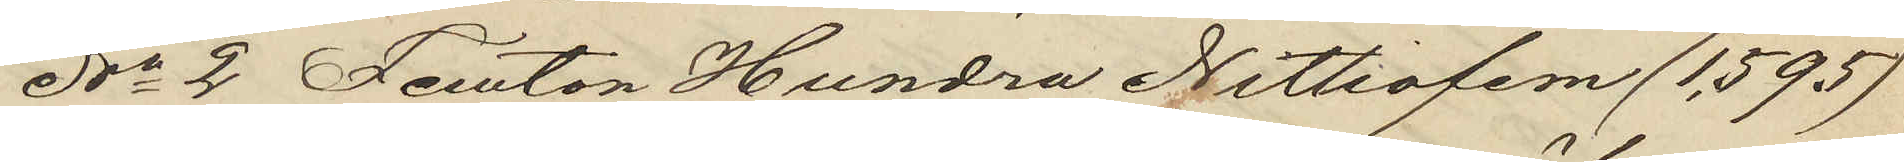No 2 Femton Hundra Nittiofem (1,595)
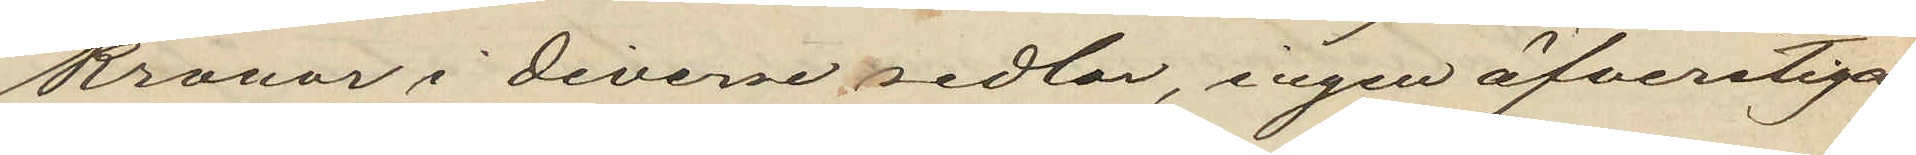Kronor i diverse sedlar, ingen öfverstigan¬
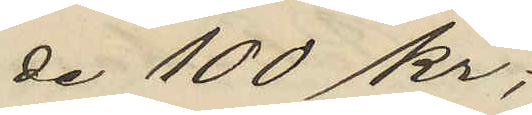de 100 kr;
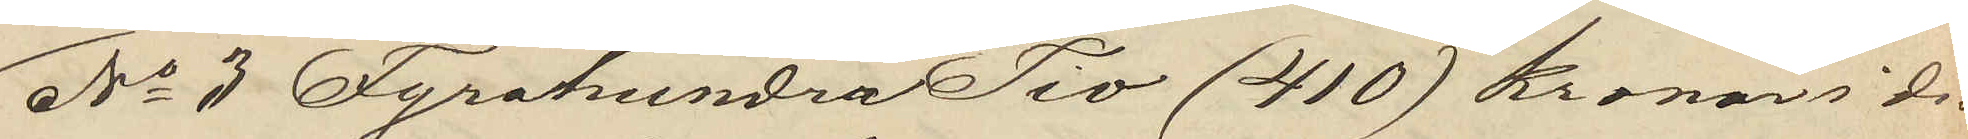No 3 Fyrahundra Tio (410) kronor i di¬
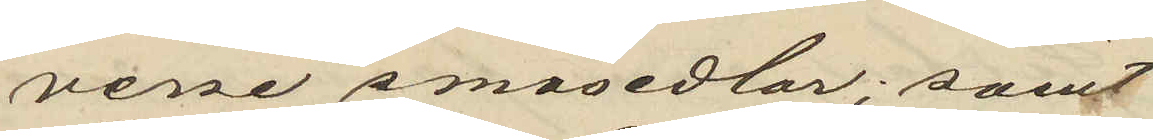verse småsedlar; samt
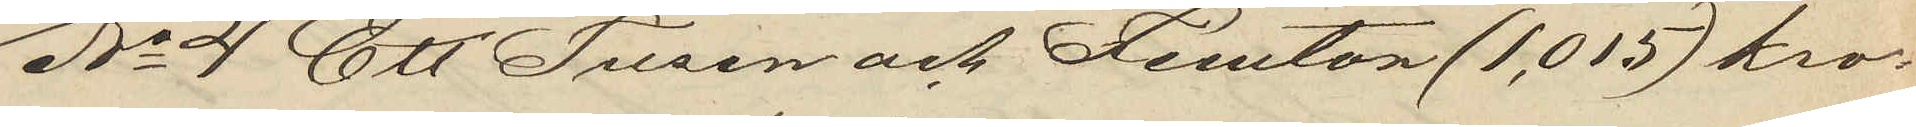No 4 Ett Tusen och Femton (1,015)  kro¬
